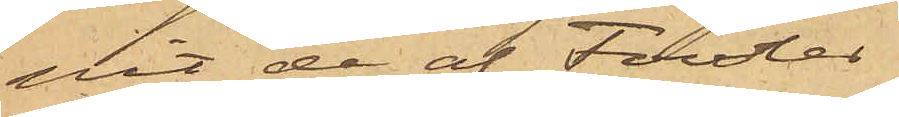pit de af Fowles
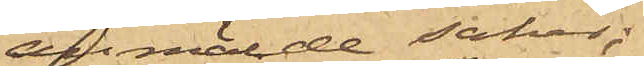anmälde saker;
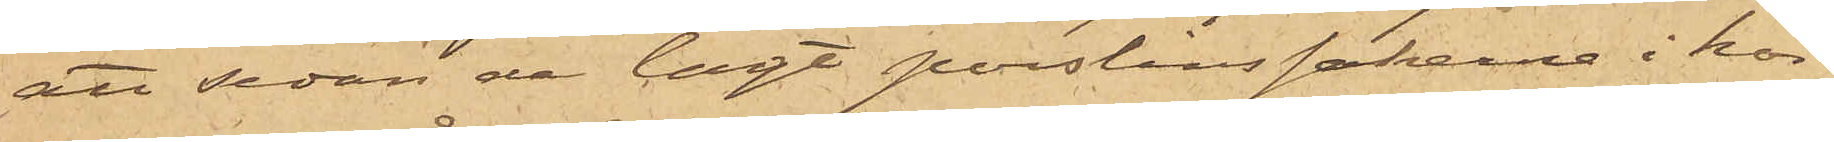att sedan de lagt porslinsakerna i kor¬
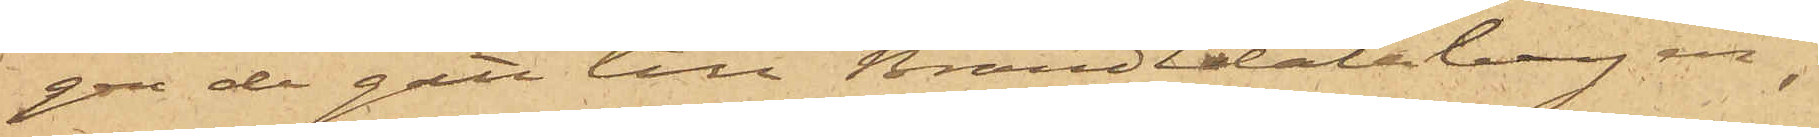gen de gått till Brandtdalabergen,
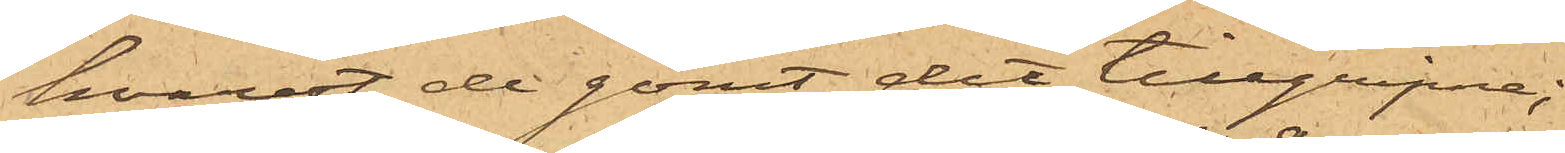hvarest de gömt det tillgripne;
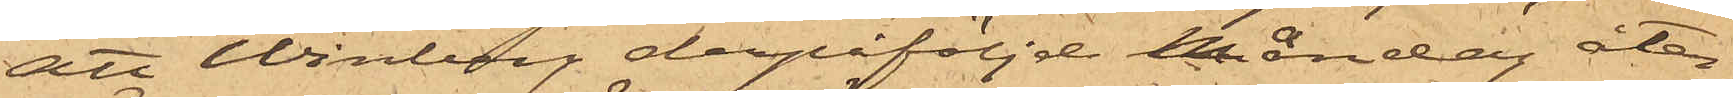att Winberg derpåföljde Måndag åter¬
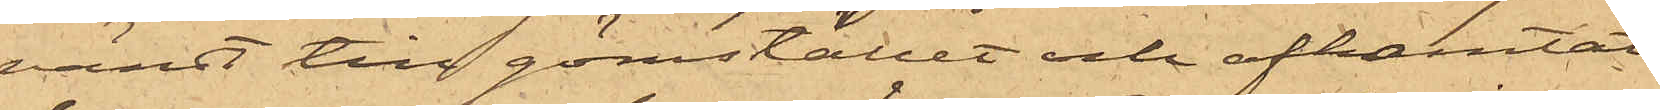vändt till gömstället och afhemtat
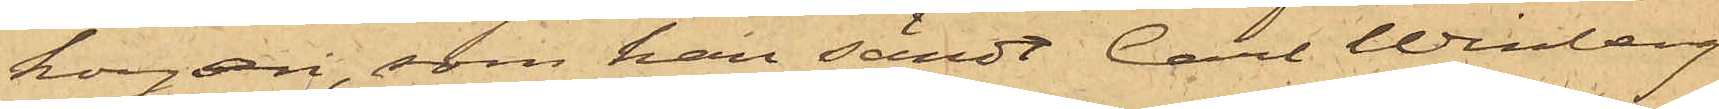korgen, som han sändt Carl Winberg
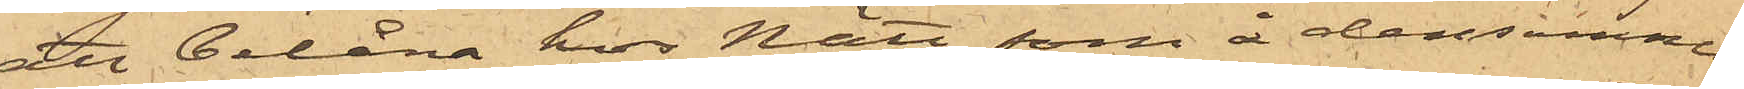att belåna hos Nätt, som å densamma
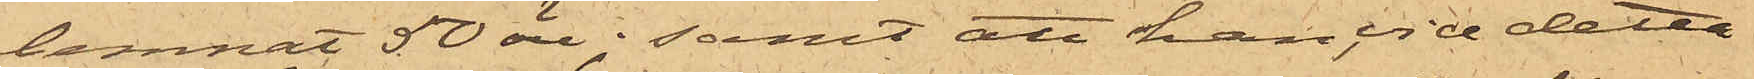lemnat 50 öre; samt att han vid detta
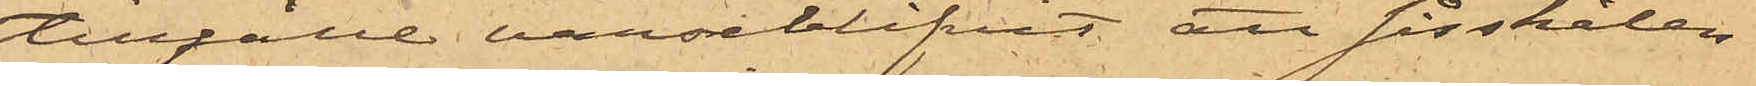tillfälle varseblifvit att såsskålen
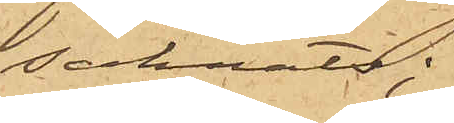saknats;
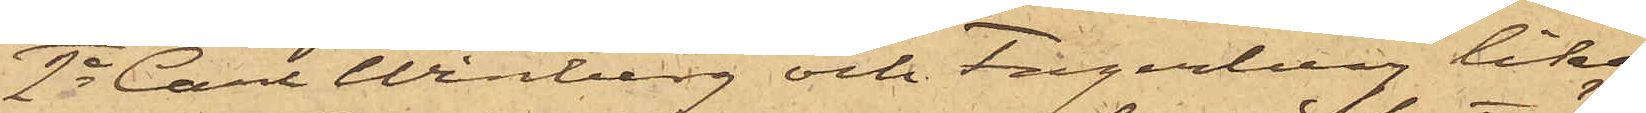2o Carl Winberg och Fagerberg lika
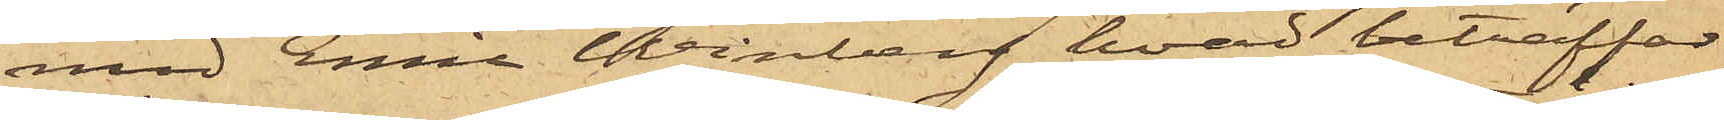med Emil  Winberg hvad beträffar
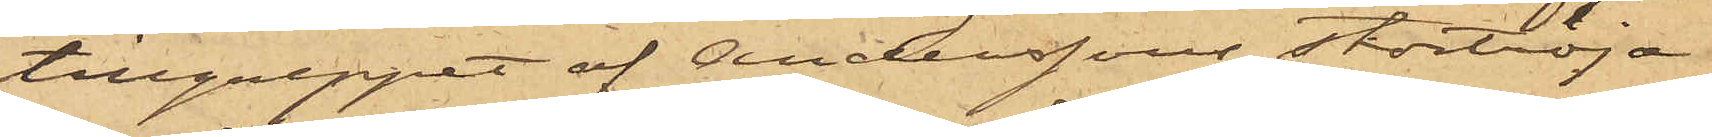tillgreppet af Anderssons stortröja
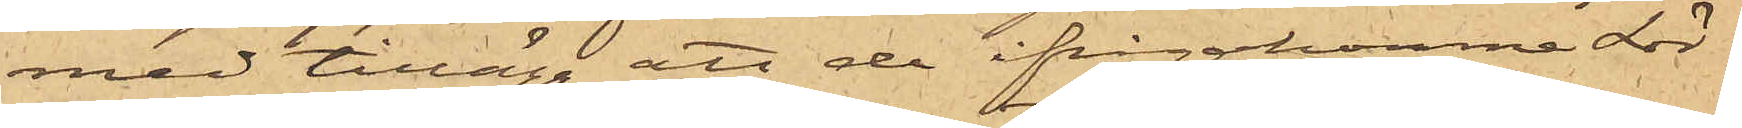med tillägg att de ifrågakomne Lör¬
